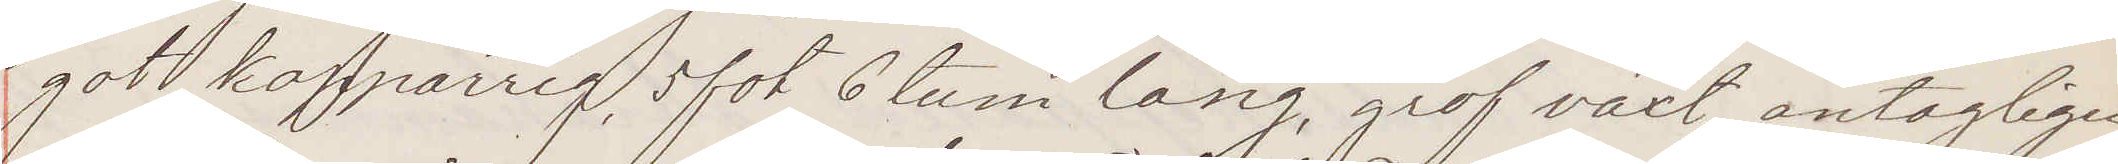got koppärrig, 5 fot 6 tum lång, grof växt, antagligen
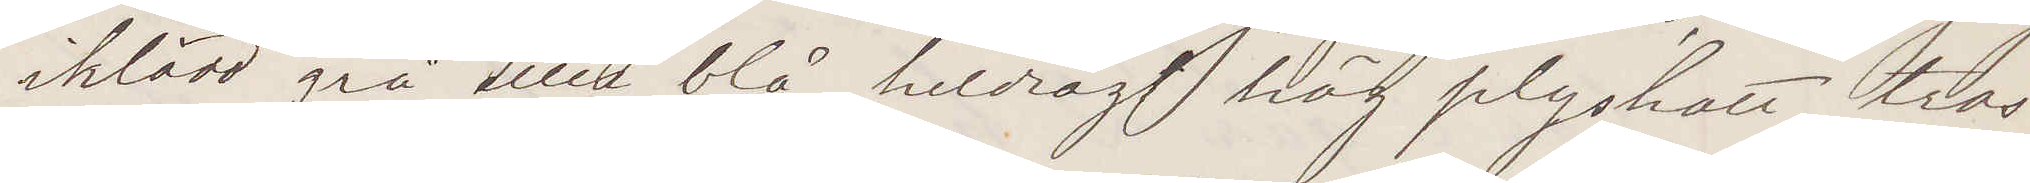iklädd grå eller blå heldrägt hög plyshatt tros
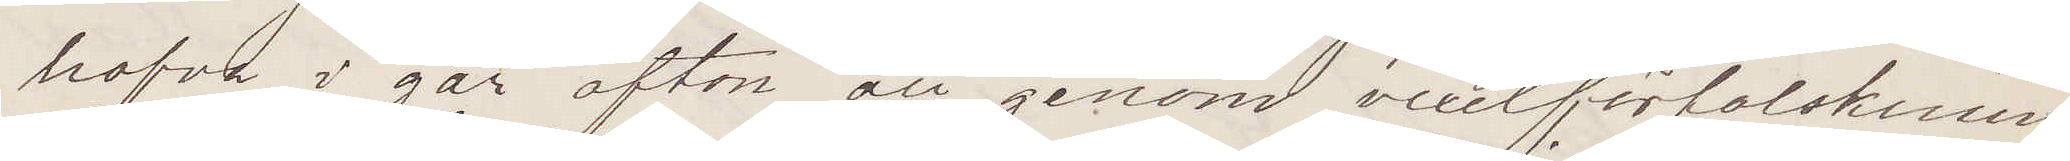hafva i går afton att genom vexelförfalskning
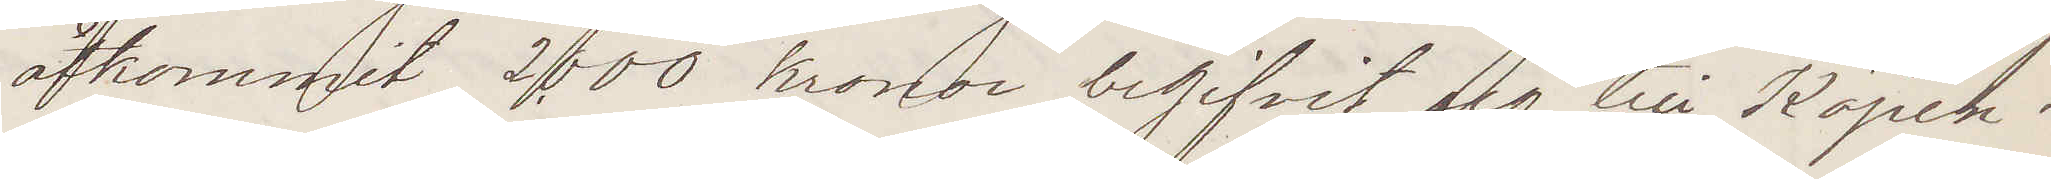åtkommit 2,000 kronor begifvit sig till Köpen¬
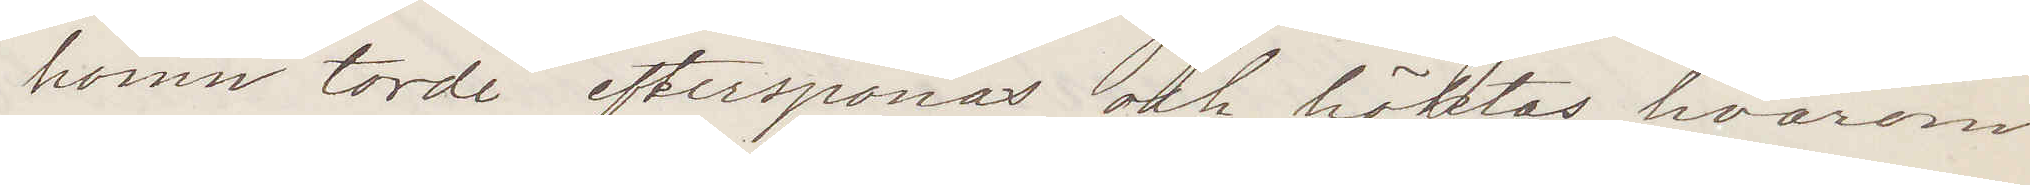hamn torde efterspanas och häktas, hvarom
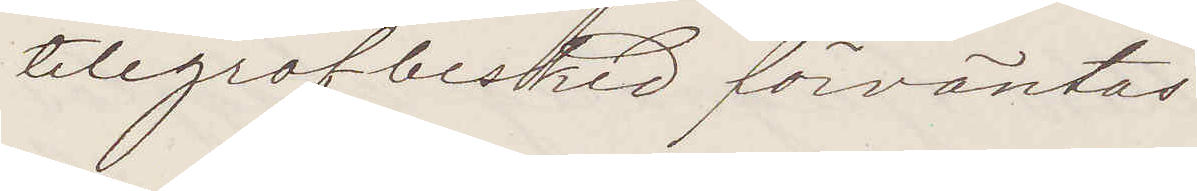telegrafbesked förväntas:
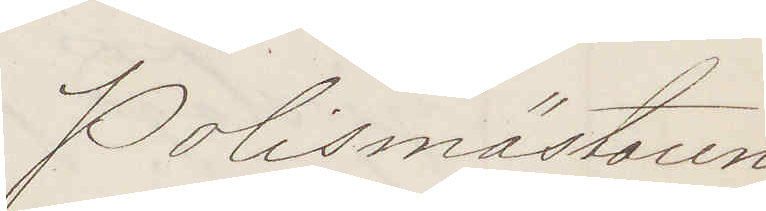Polismästaren
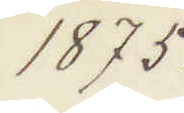1875.
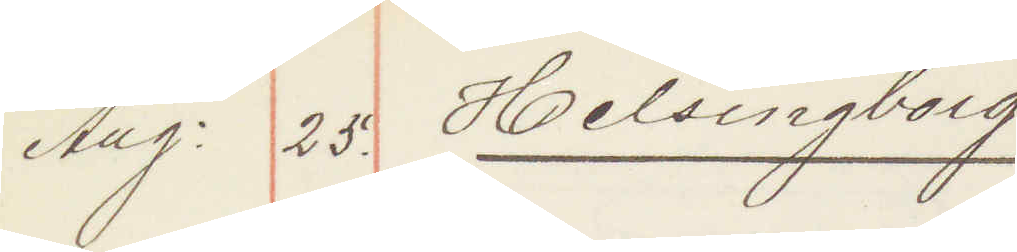Aug: 25. Helsingborg
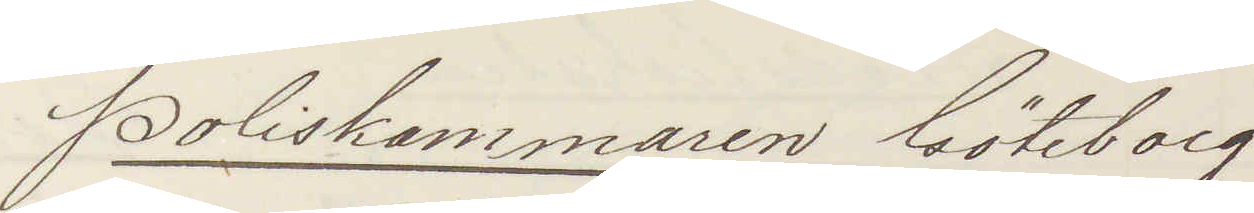Poliskammaren Göteborg
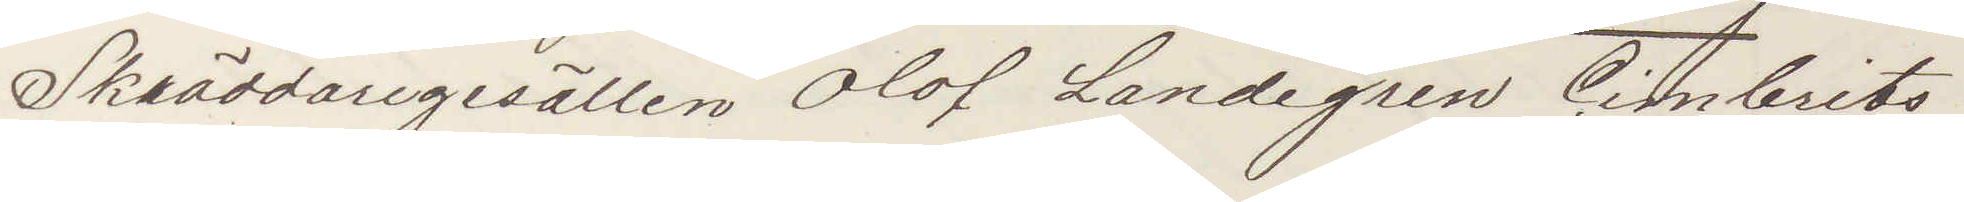Skräddaregesällen Olof Landegren, Cimbrits¬
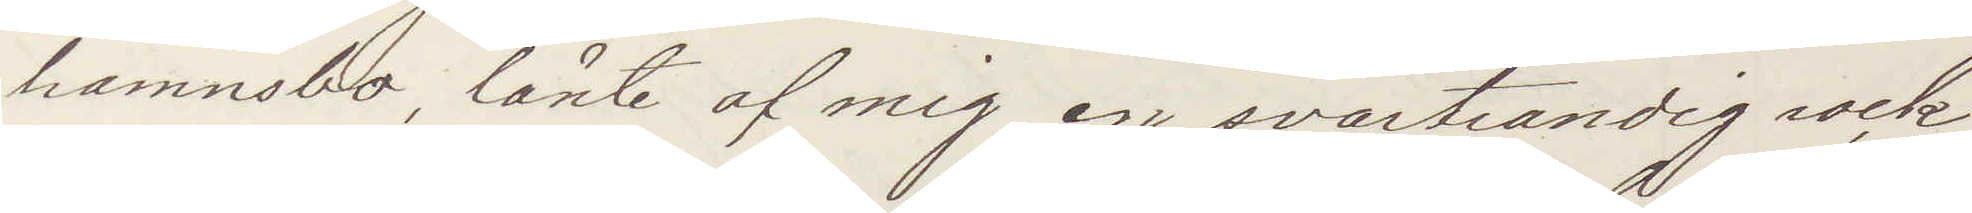hamnsbo, lånte af mig en svartrandig rock
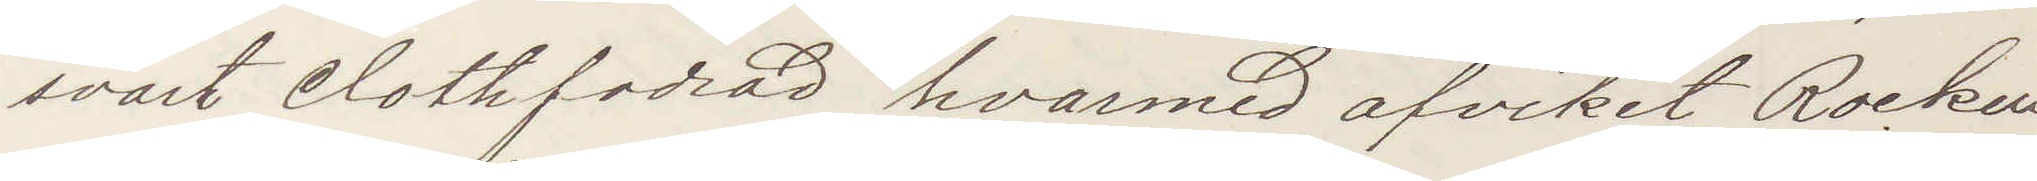vart Clothfodrad, hvarmed afviket. Rocken
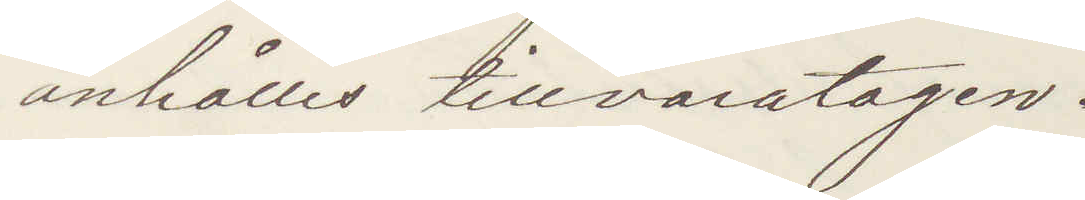anhålles tillvaratagen.
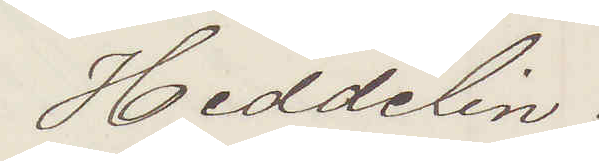Heddelin.
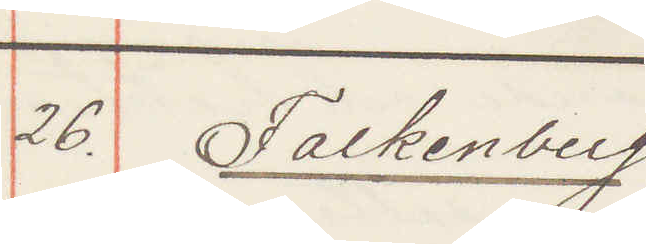26. Falkenberg
